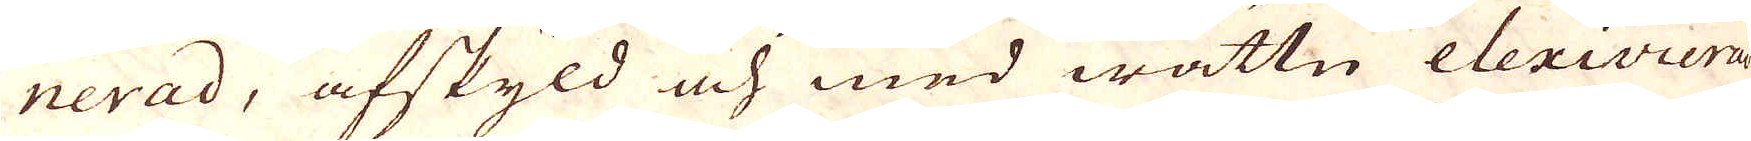nerad, afskyld och med wattn elexivierad
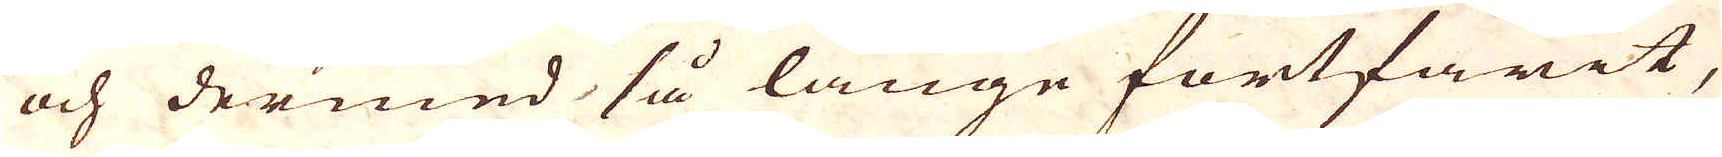och dermed så länge fortfarit,
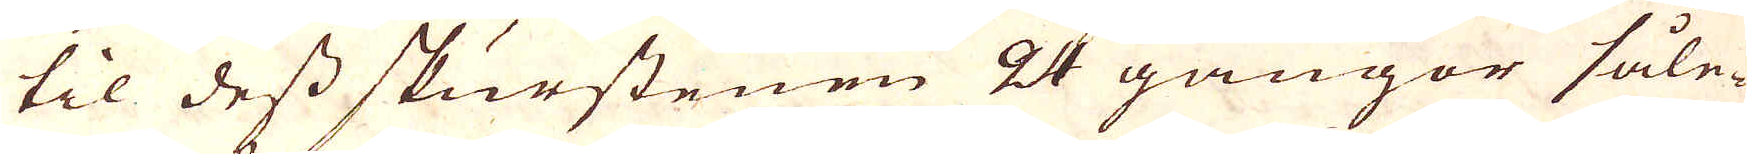til dess skurstenen 24 gånger såle-
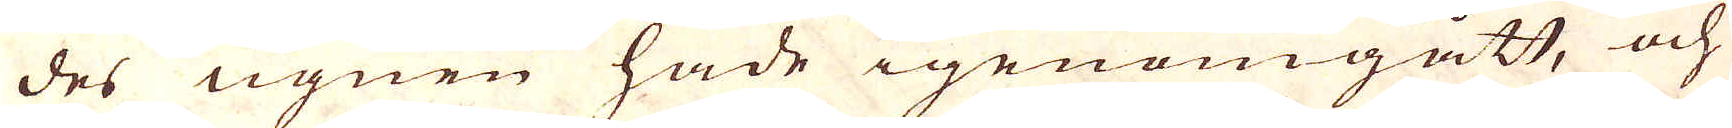des ugnen hade igenomgått, och
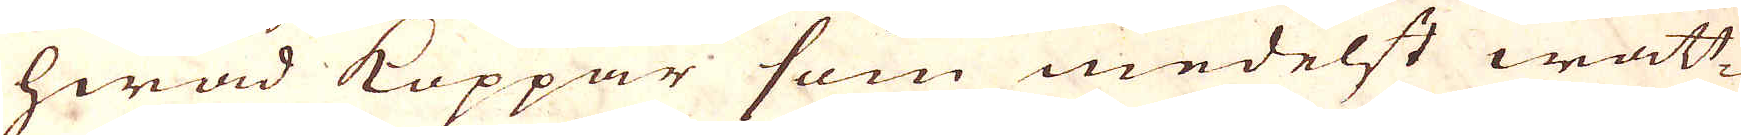hwad Koppar som medelst watt-
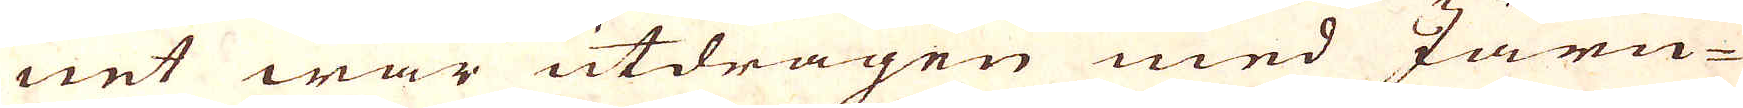net war utdragen med Järn-
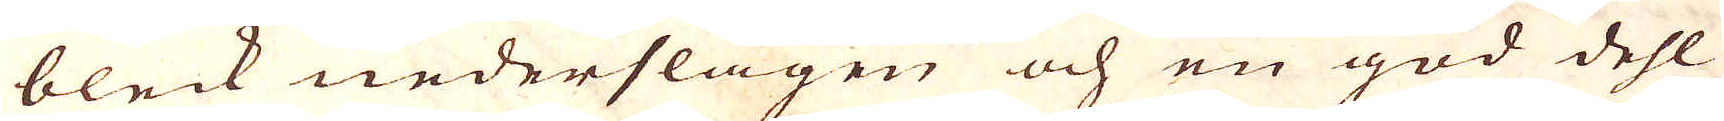bleck nederslagen och en god dehl
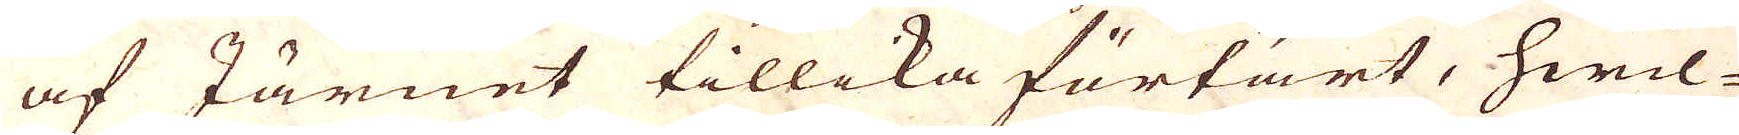af Järnet tillika förtärt, hwil-
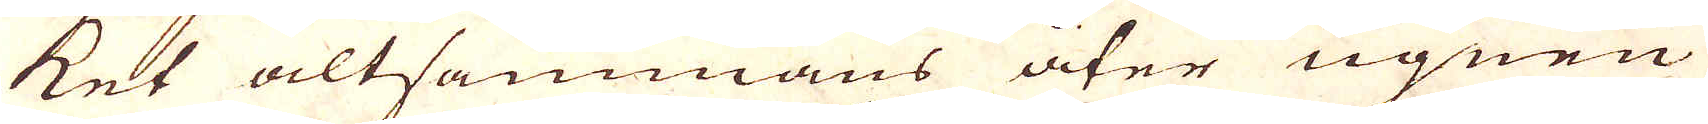ket altsammans åter ugnen
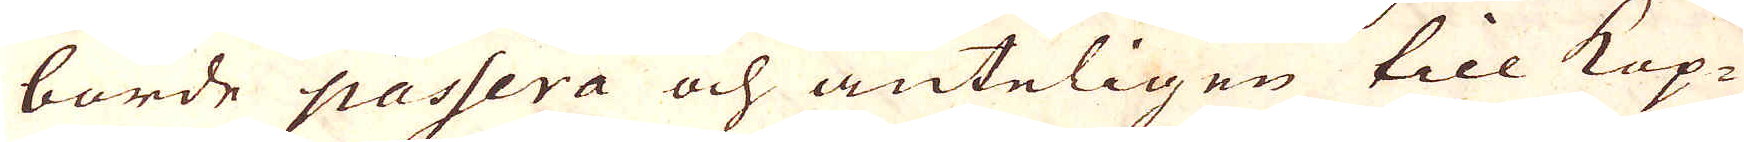borde passera och änteligen till Kop-
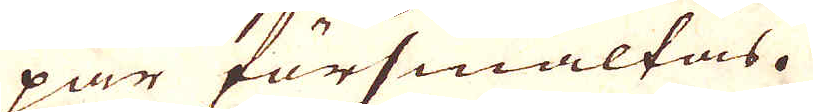par försmältas.
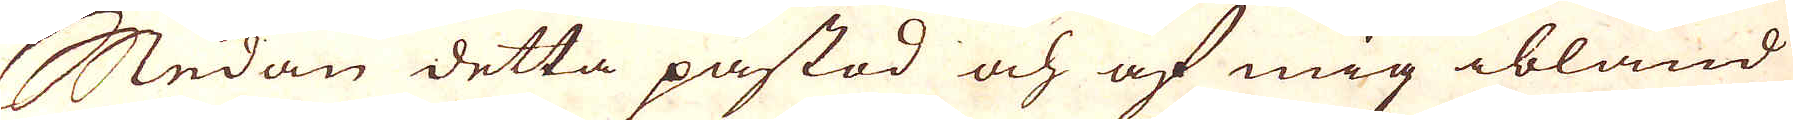Sedan detta påstod och af mig ibland
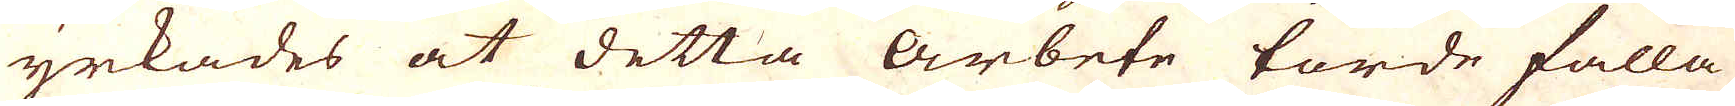yrkades at detta Arbete torde falla
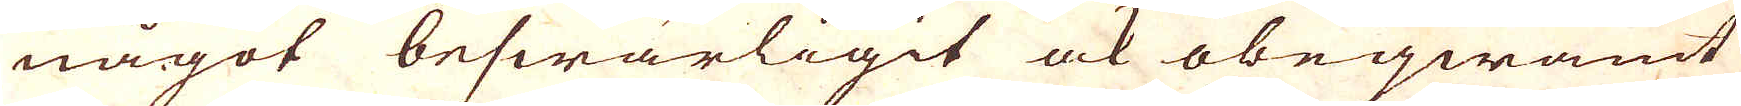något beswärligit ock obeqwämt
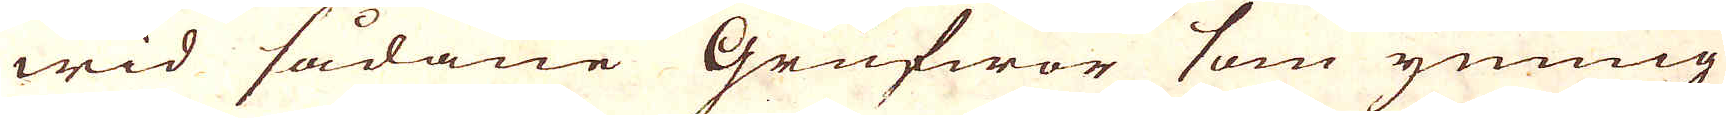wid sådane Grufwor som ymnig
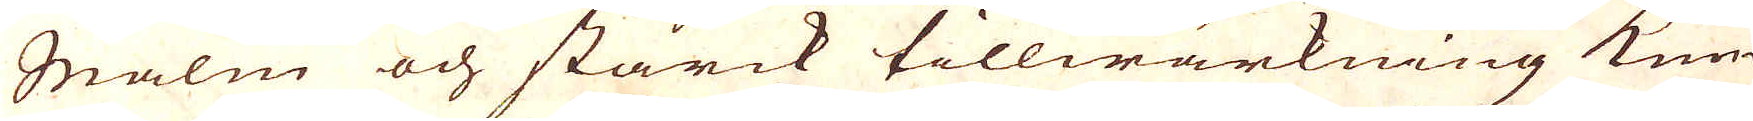malm och starck tillwärkning kun-
